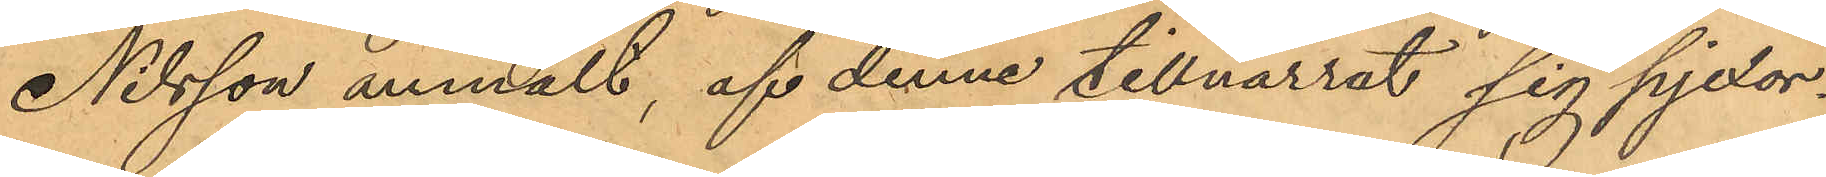Nilsson anmält, af denne tillnarrat sig pjexor¬
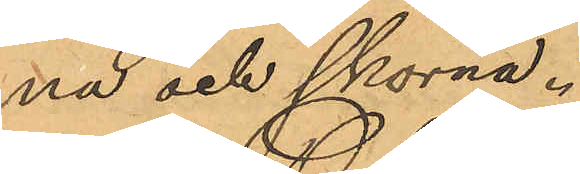na och skorna.
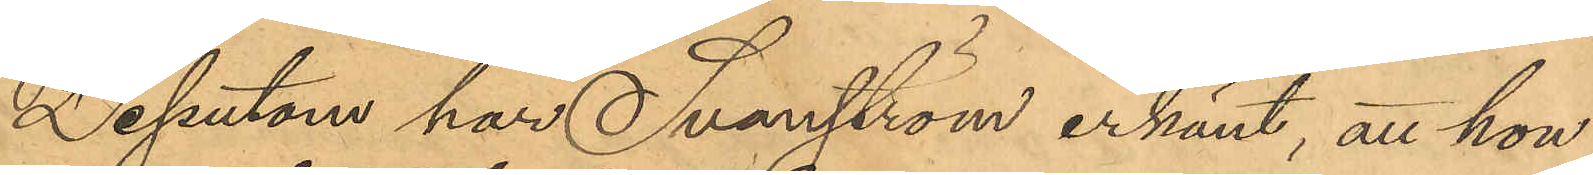Dessutom har Svanström erkänt, att hon
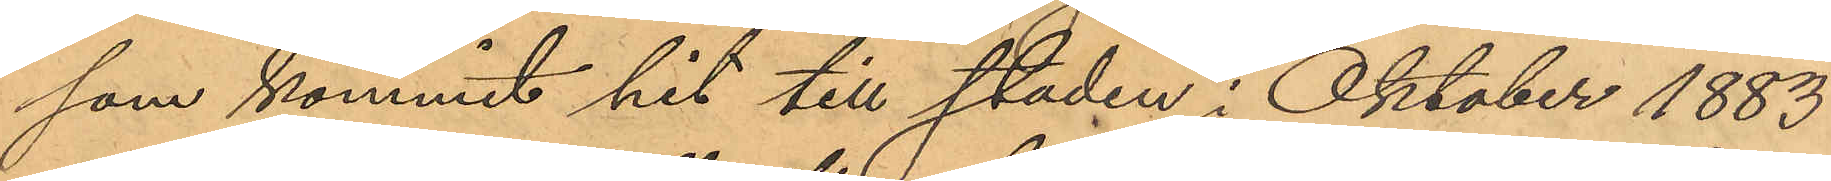som kommit hit till staden i Oktober 1883
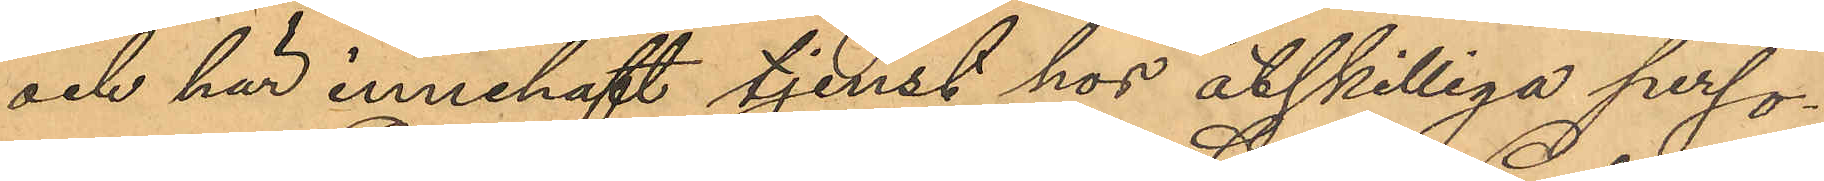och här innehaft tjenst hos åtskilliga perso¬
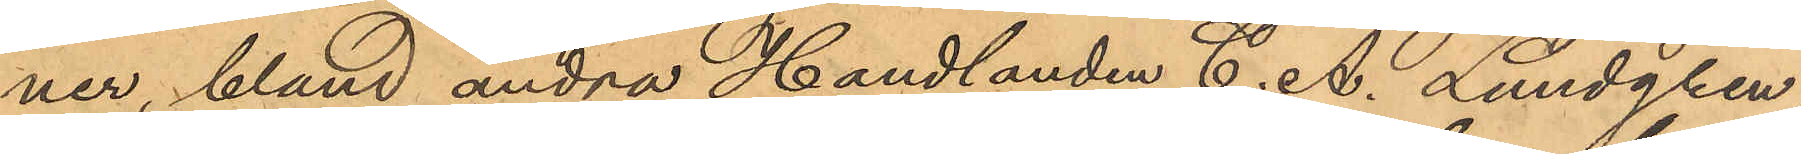ner, bland andra Handlanden C. A. Lundgren
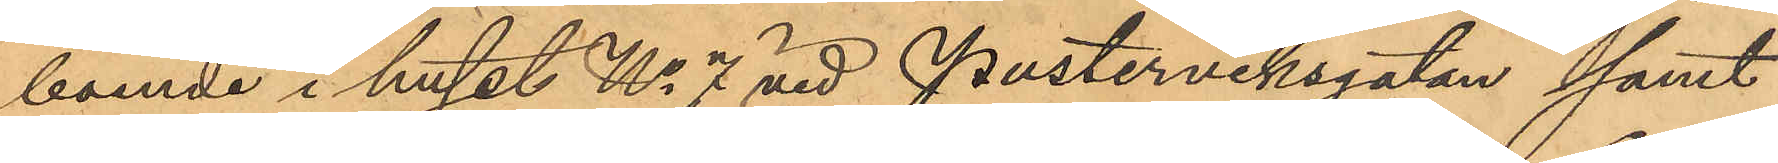boende i huset No 7 vid Pusterviksgatan samt
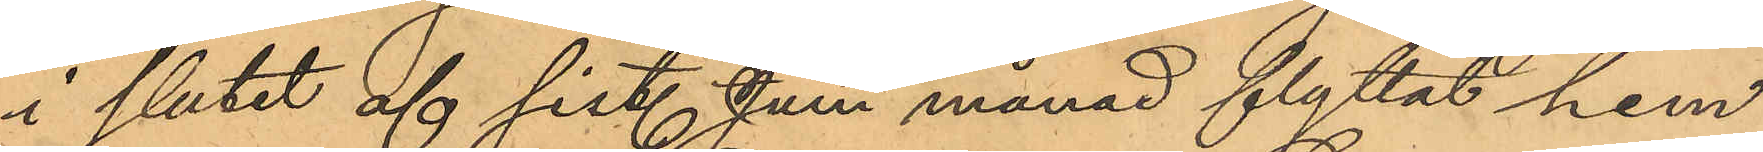i slutet af sist. Juni månad flyttat hem
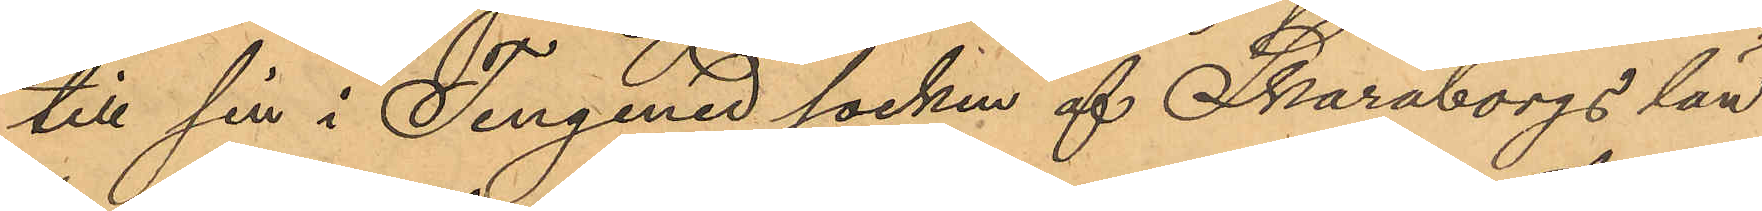till sin i Tengened socken af Skaraborgs län
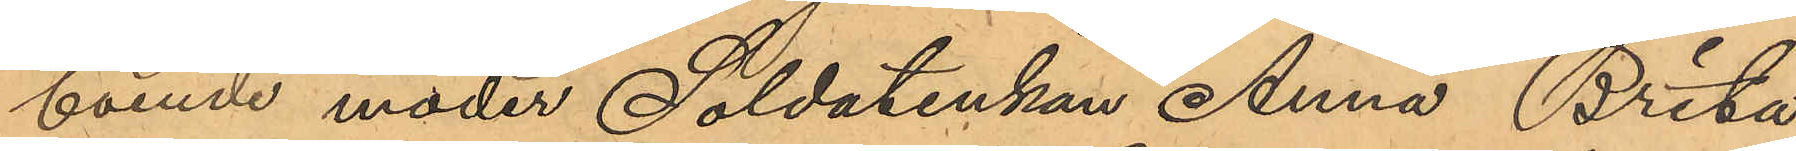boende moder Soldatenkan Anna Brita
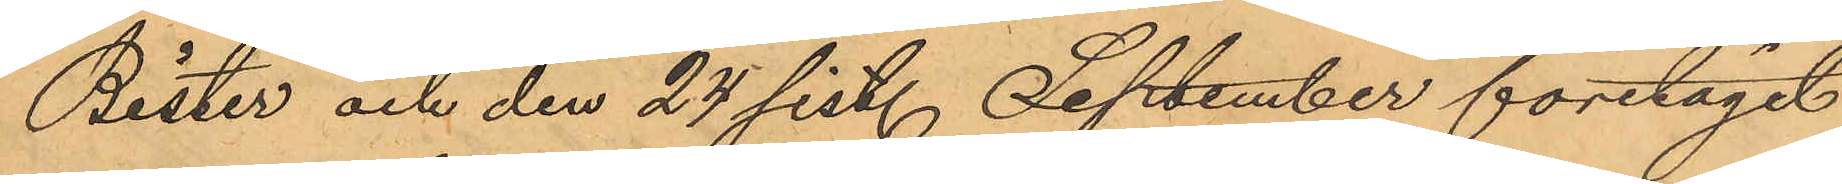Bister och den 24 sist. September företagit
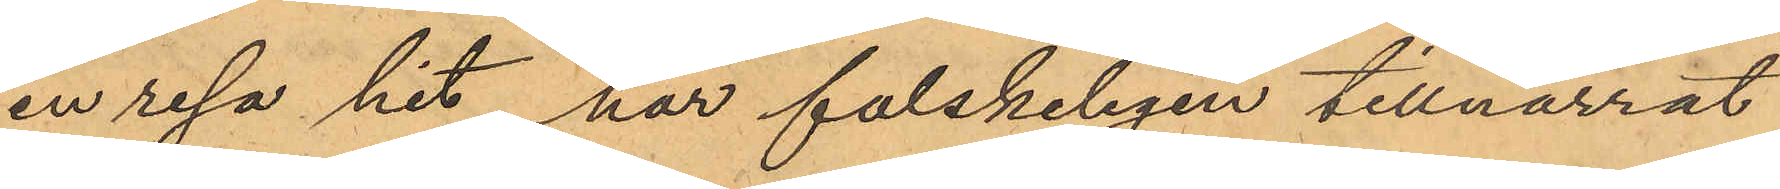en resa hit, här falskeligen tillnarrat
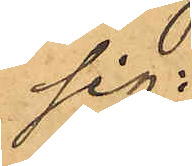sig:
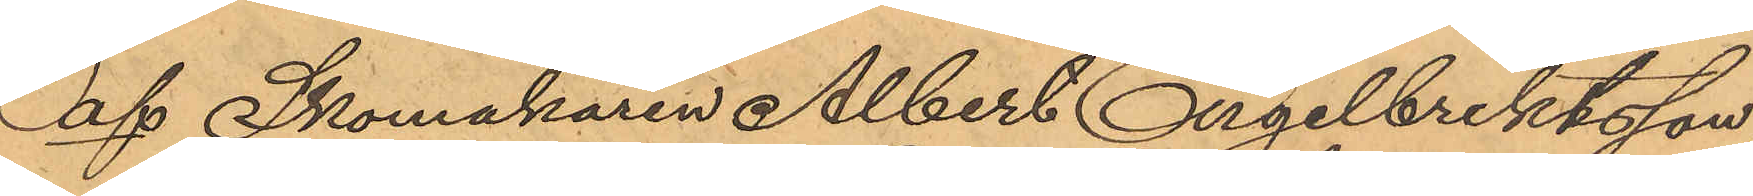af Skomakaren Albert Engelbrektsson,
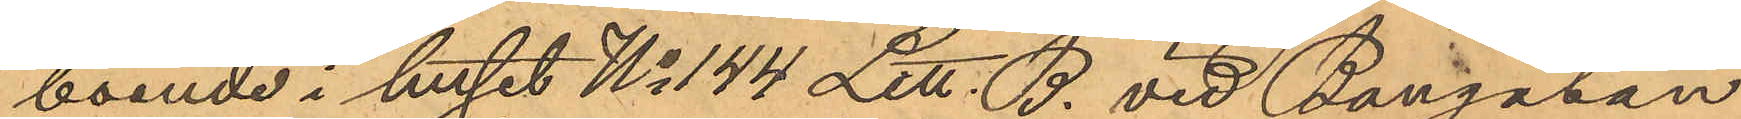boende i huset No 144 Litt. B. vid Bangatan
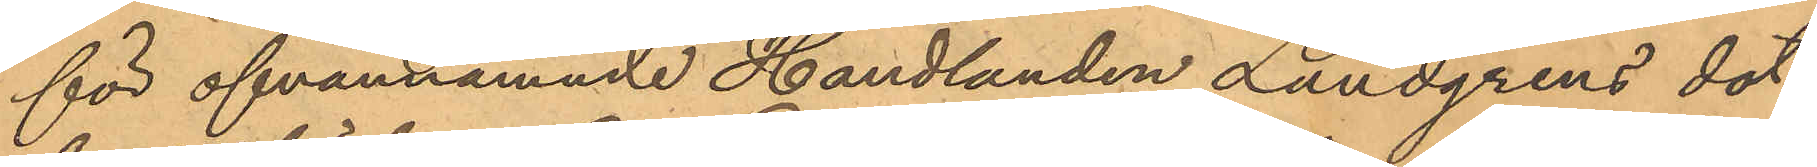för ofvannämnde Handlanden Lundgrens dot¬
